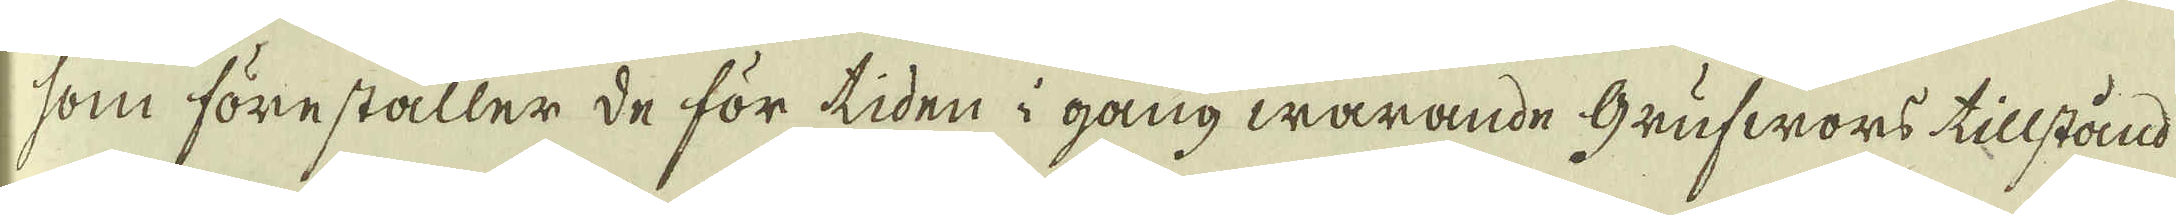som föreställer de för tiden i gång warande Grufwors tillstånd
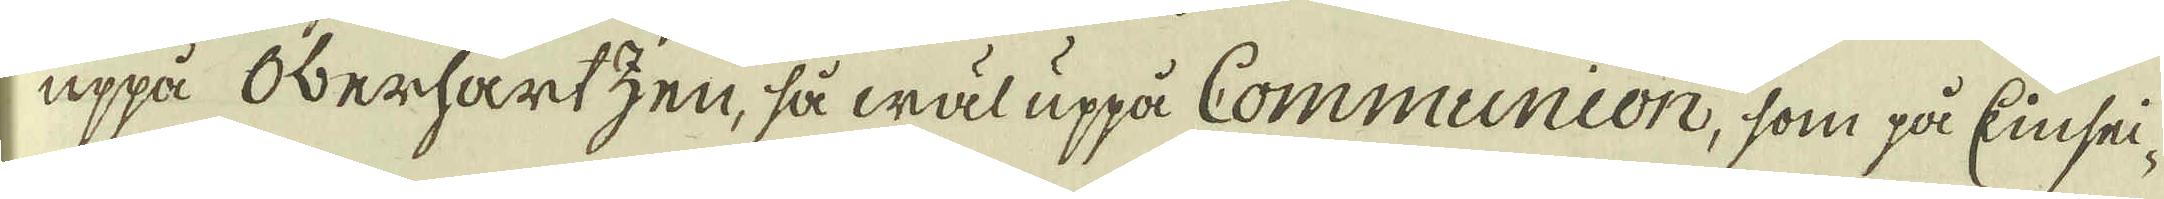uppå Oberhartzen, så wäl uppå Communion, som på Einsei-
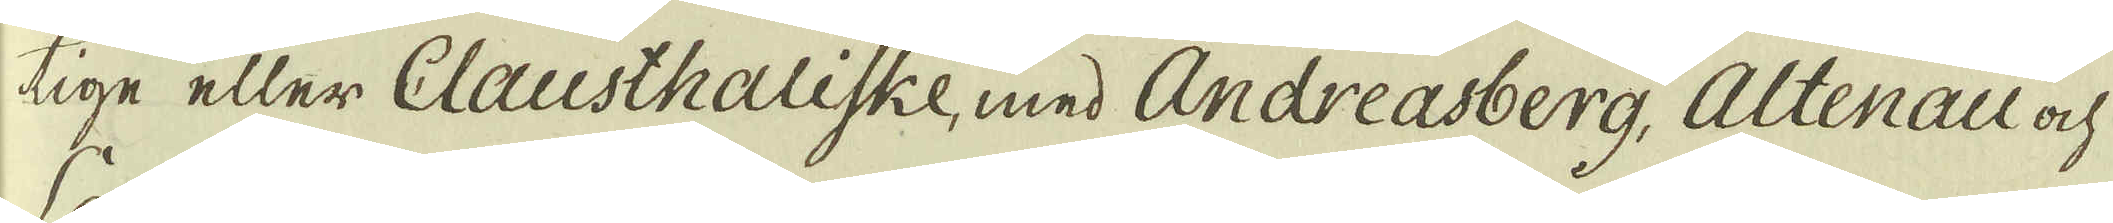tige eller Clausthaliske, med Andreasberg, Altenau ock
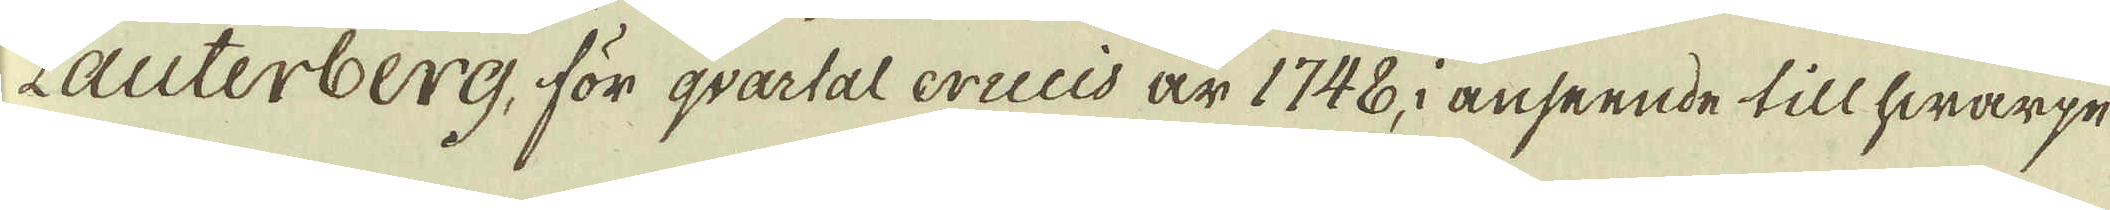Lauterberg, för qvartal cruuis är 1748, i anseende till hwarpe
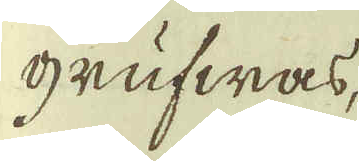grufwas,
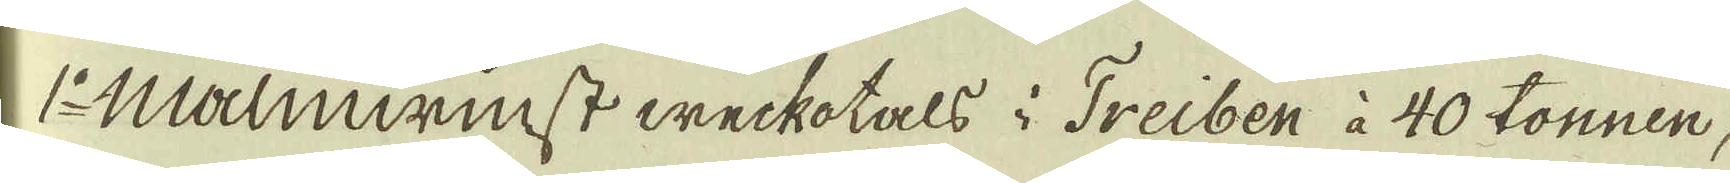1:o Malmwinst weckotals i Treiben à 40 tonnen,
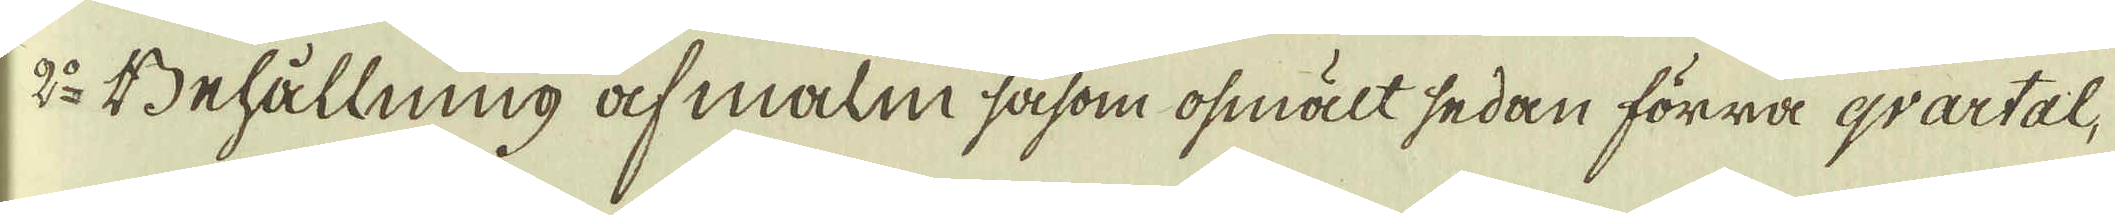2:o Behållning af malm såsom osmält sedan förra qvartal,
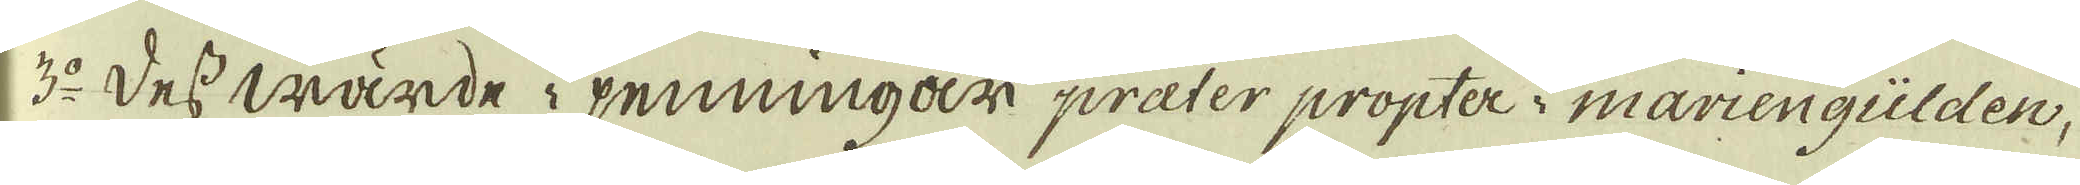3:o Dess wärde i penningar praeter propter i mariengülden,
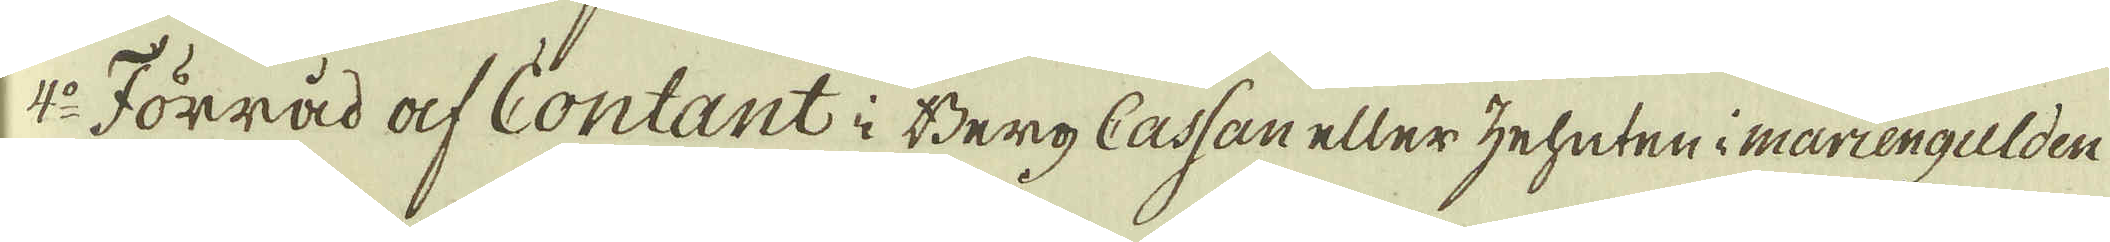4:o Förråd af Contant i Berg Cassan eller zehuteni mariengulden
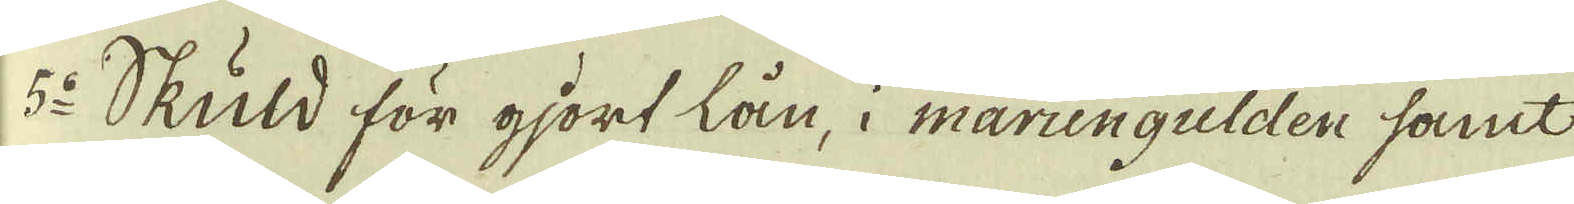5:o Skuld för gjort lån, i mariegulden samt
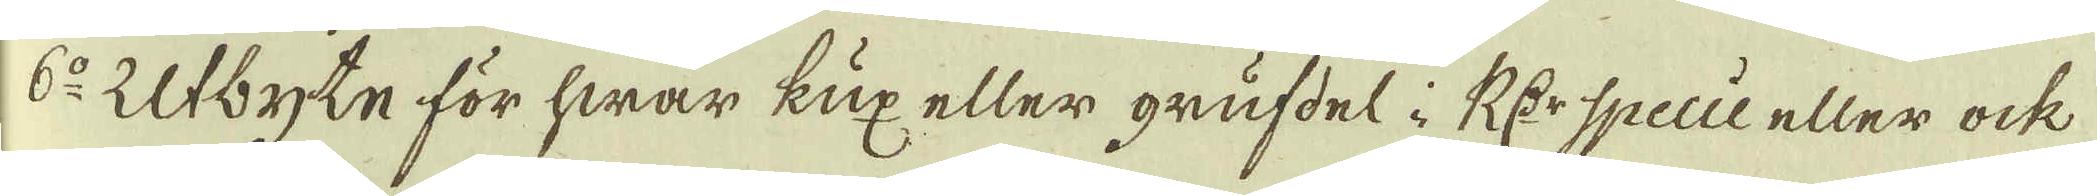6:o Utbyte för hwar kux eller grufdel i R:dr Specie eller ock
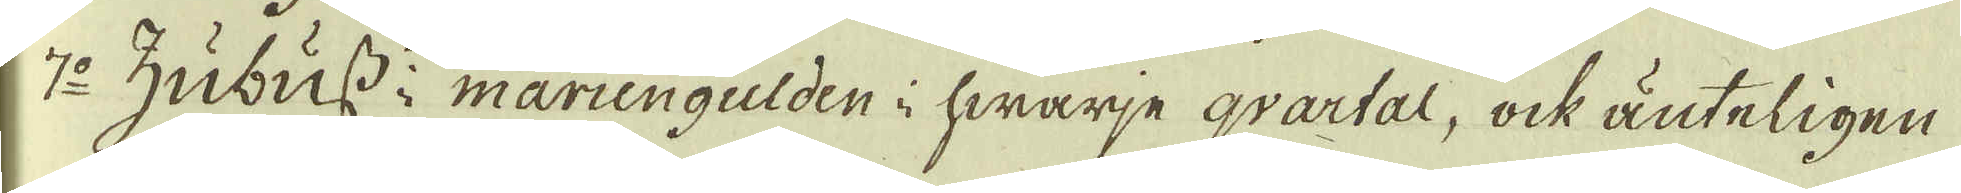7:o Zubuss i mariengulden i hwarje qvartal, ock änteligen
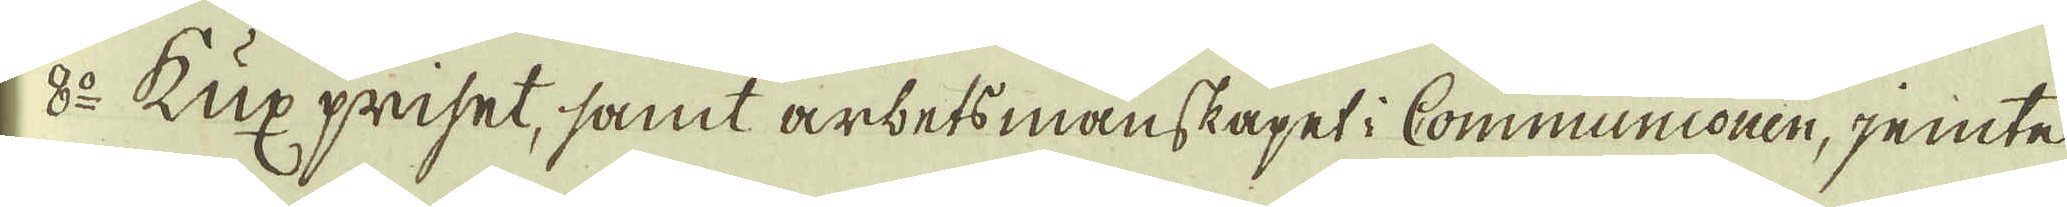18:o Kux priset, samt arbetsmänskapet i Communionen, jemte
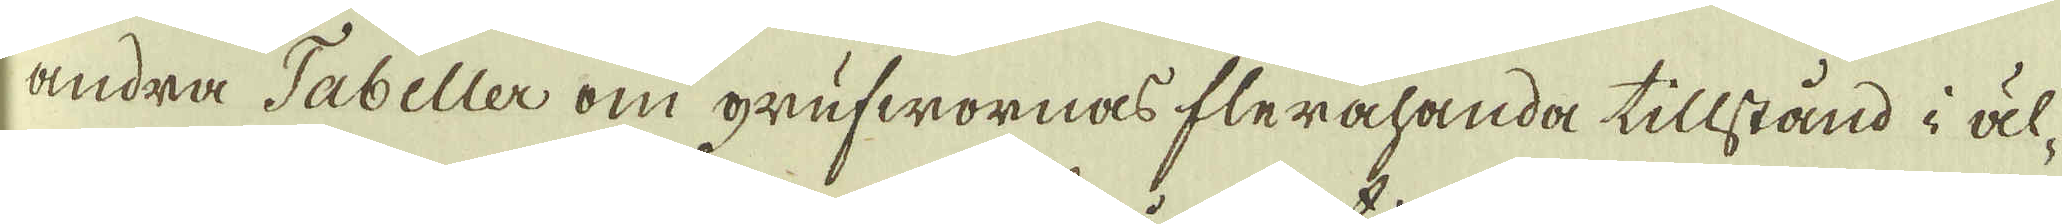andra Tabeller om grufwornas flerahanda tillstånd i äl-
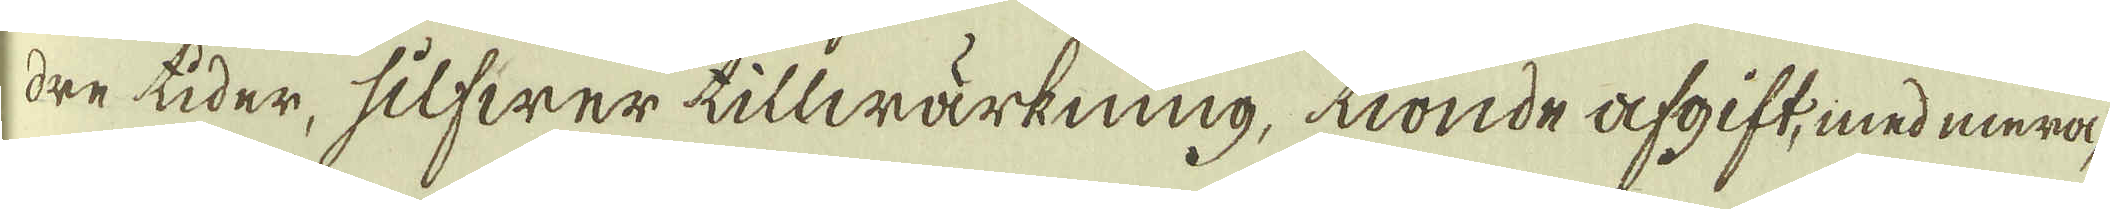dre tider, silfwer tillwärkning, tionde afgift, med mera
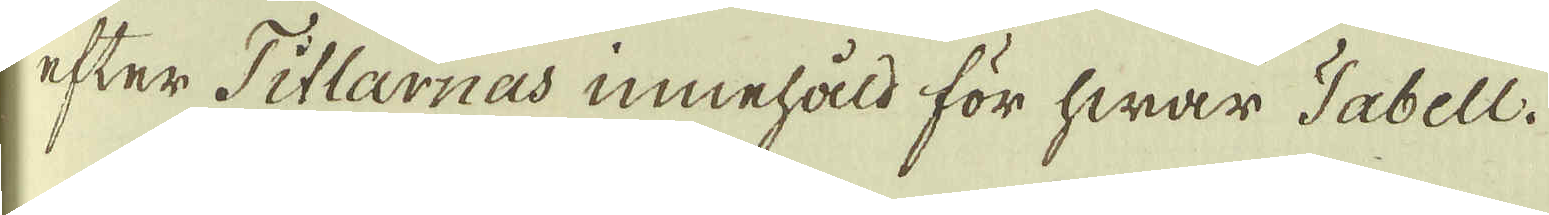efter Titlarnas innehåld för hwar Tabell.
